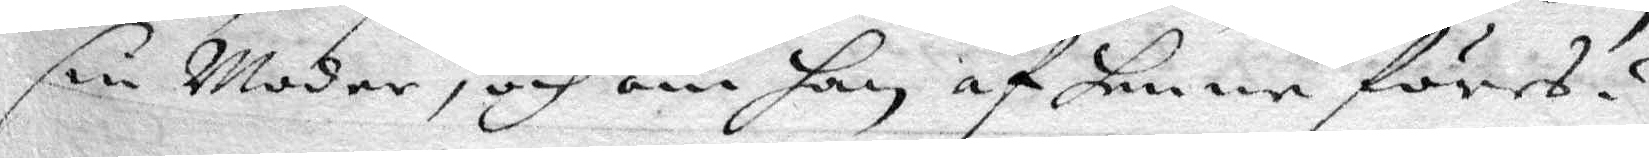sin Moder, och om han af henne förea?
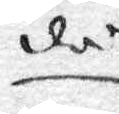då
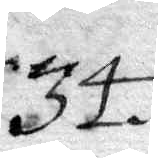34.
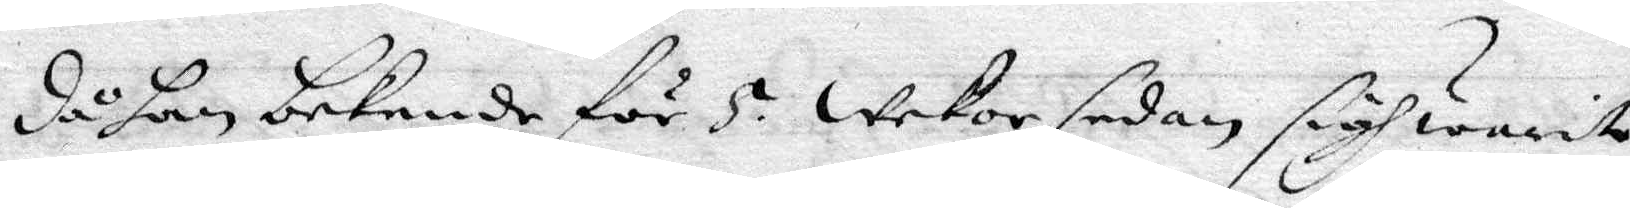då han bekende för 5. wekor sedan, sigh warit
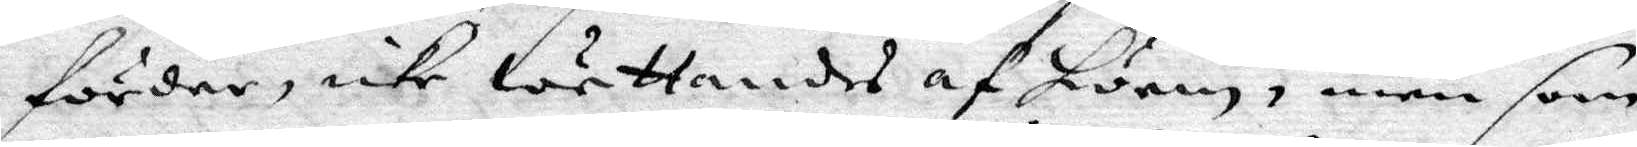förder, icke wettandes af hwem, men som
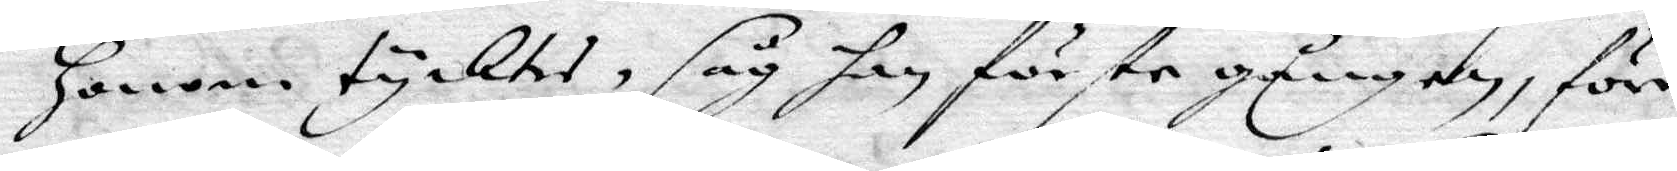honom tycktes, såg han förste gången, förr
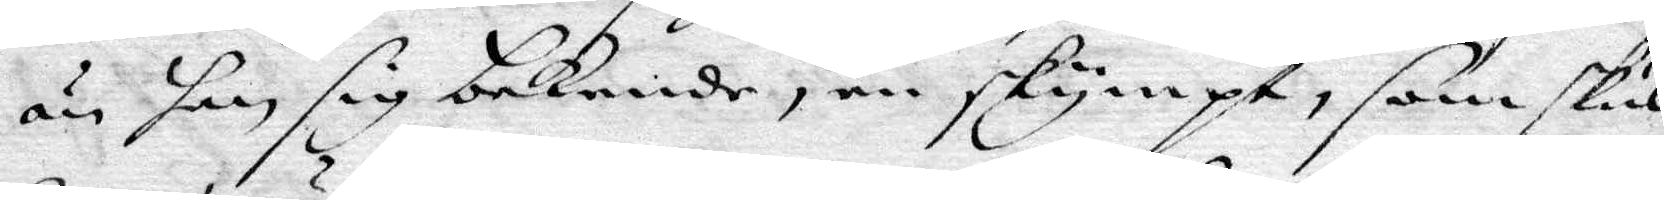än han sig bekende, en skympt, som skul¬
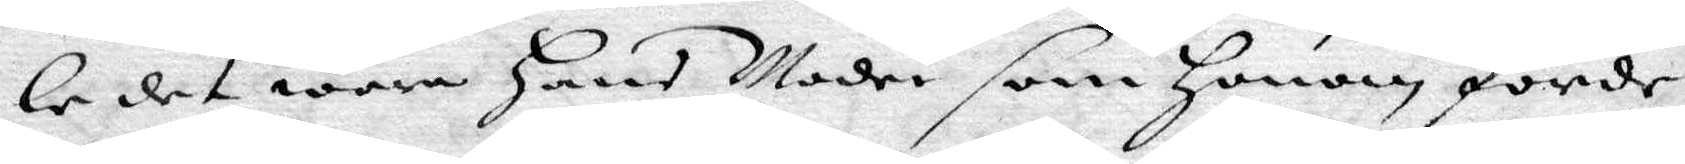le det wara Hans Moder som Honom förde.
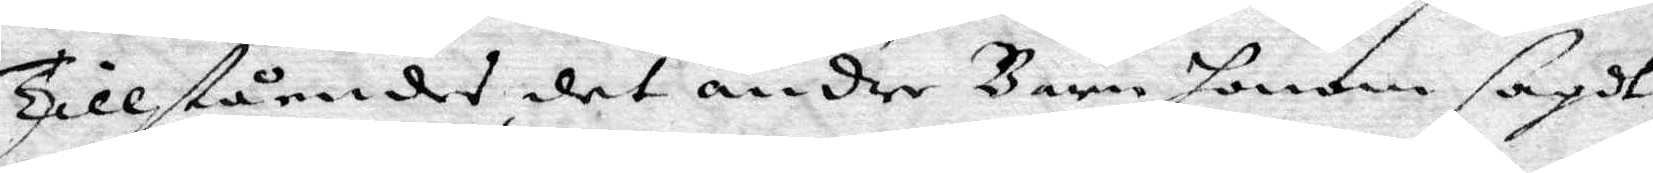Tillståendes det andre Barn honom sagdt,
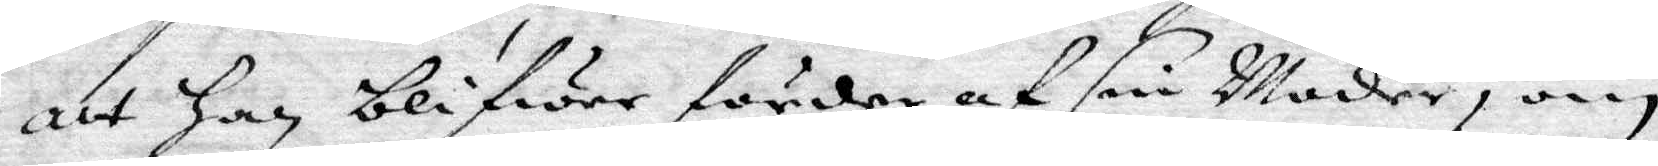att Han blifwer förder af sin Moder, om
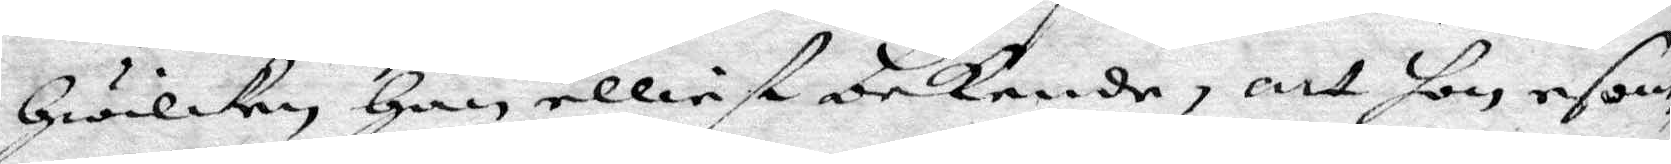Hwilken, Han elliest bekende, att hon esom
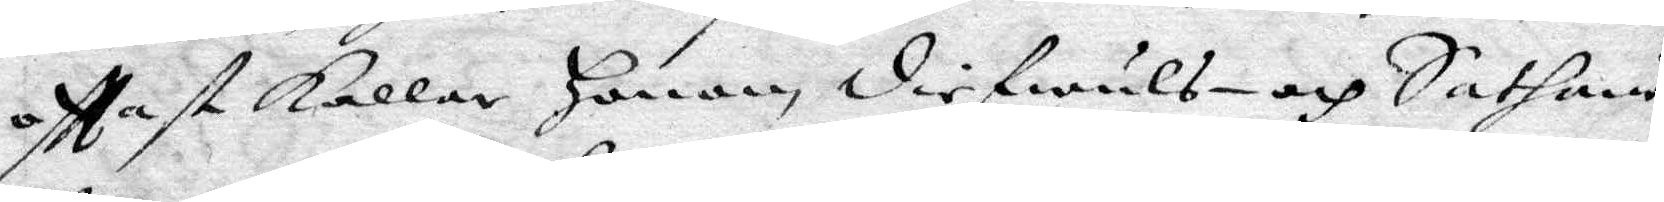ofttast Kallar Honom diefwuls- och Sathans
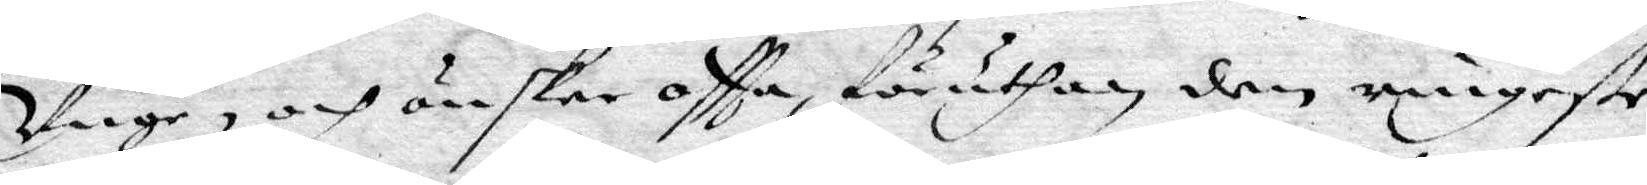Unge, och önskar oftta, föruthan den ringaste
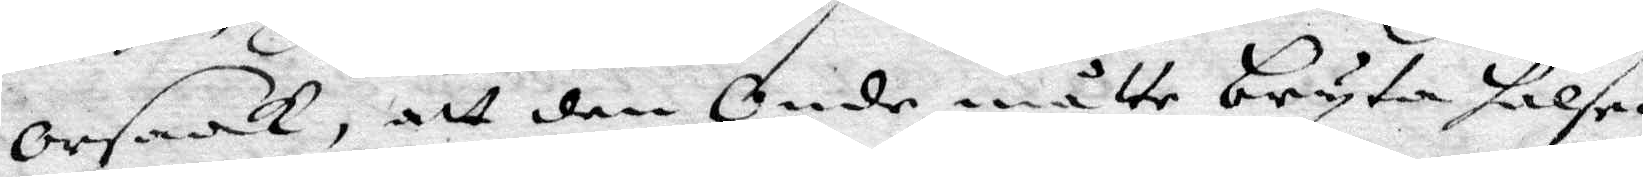orsaak, att den Onde måtte bryta halsen
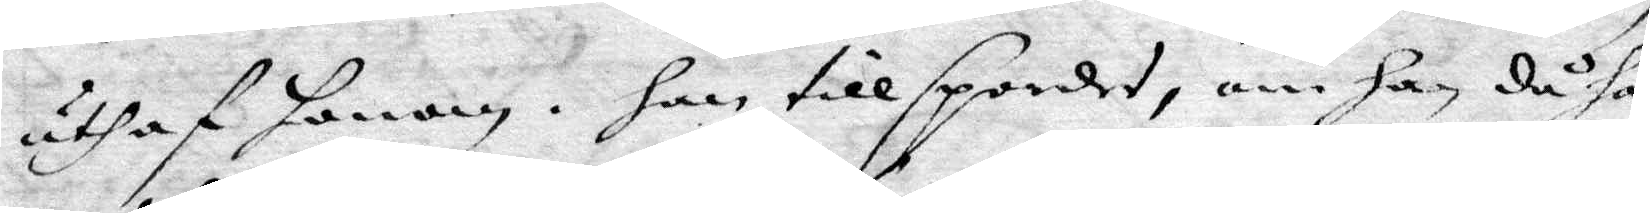uthaf honom. han tillspordes, om han då ha¬
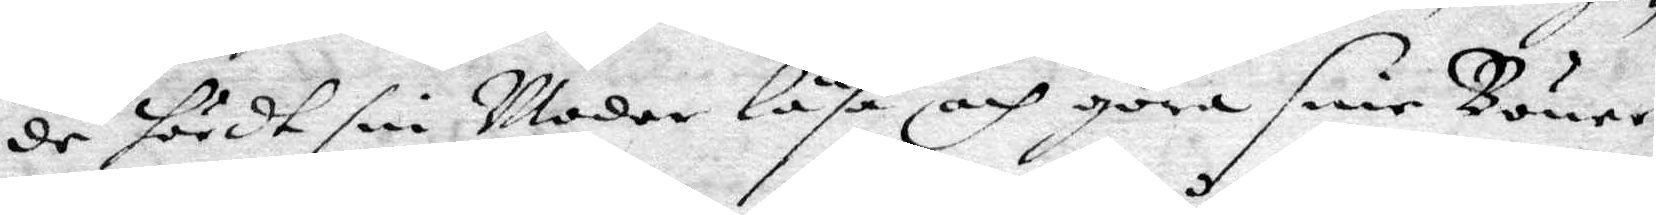de hördt sin Moder läsa och göra sine Böner?
